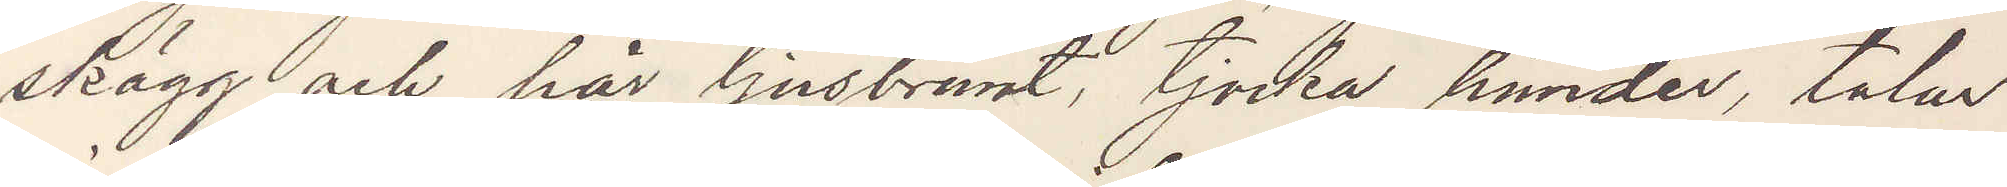skägg och hår ljusbrunt, tjocka händer, talar
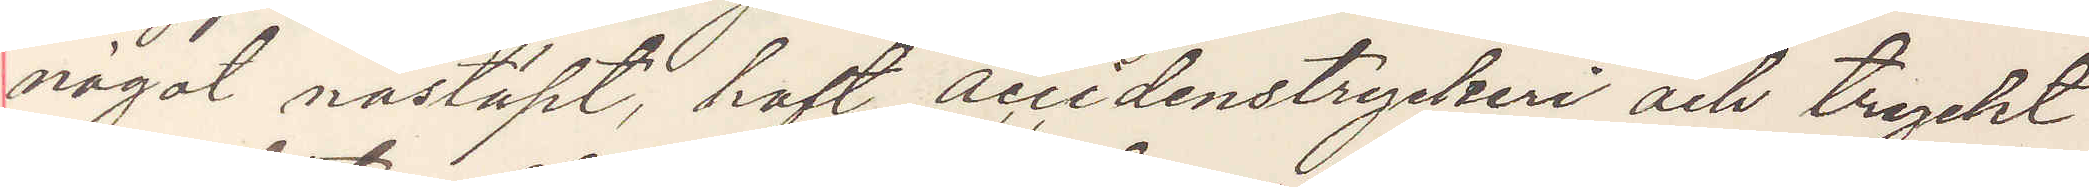något nästäpt, haft accindenstryckeri och tryckt
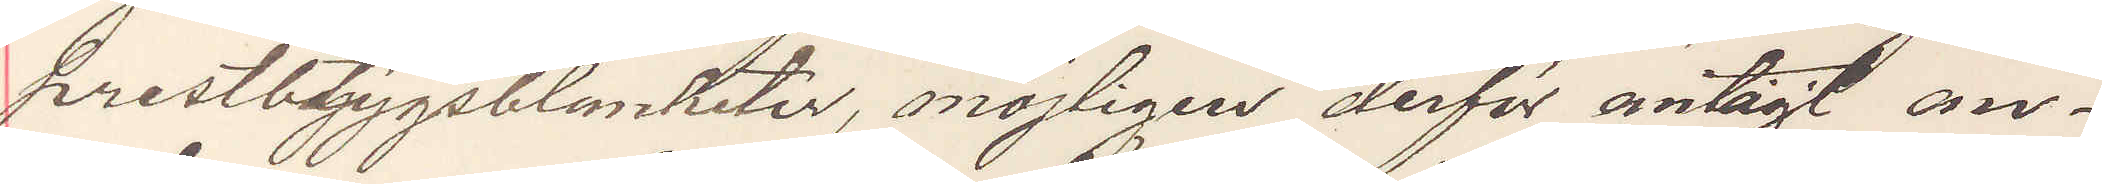prestbtygsblanketer, möjligen derför antagit an¬
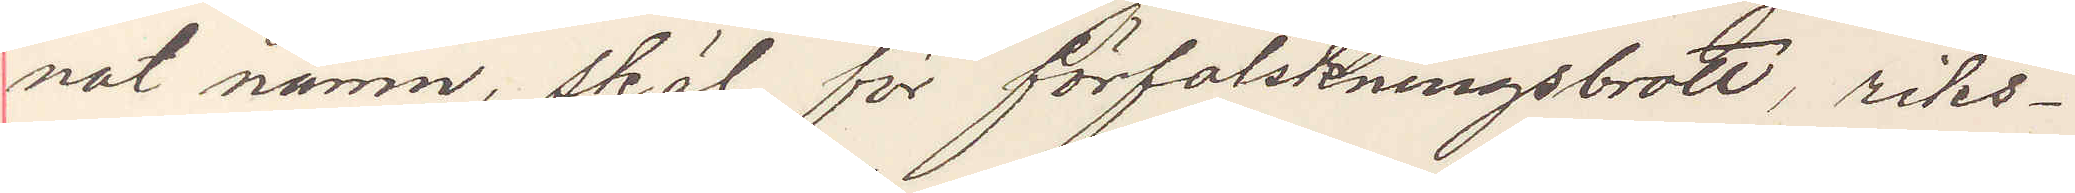nat namn, skäl för förfalskningsbrott, riks¬
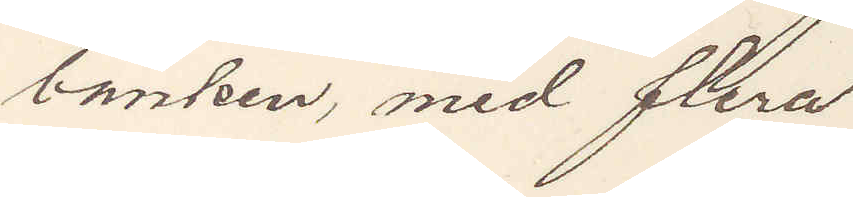banken, med flera
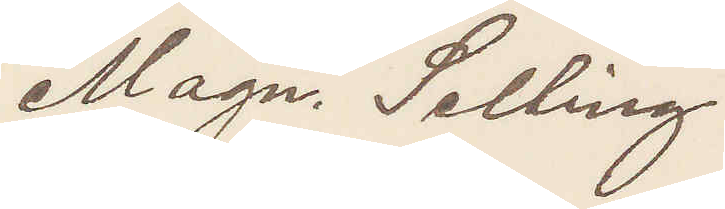Magn. Selling
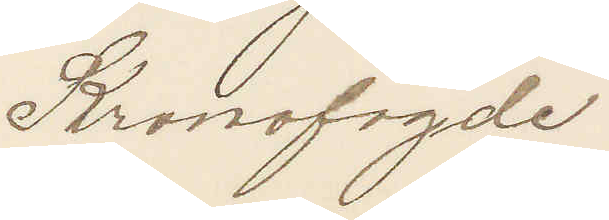Kronofogde
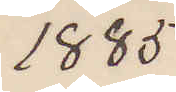1885
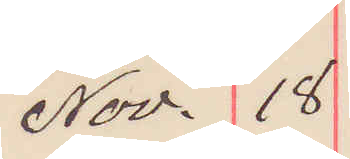Nov. 18
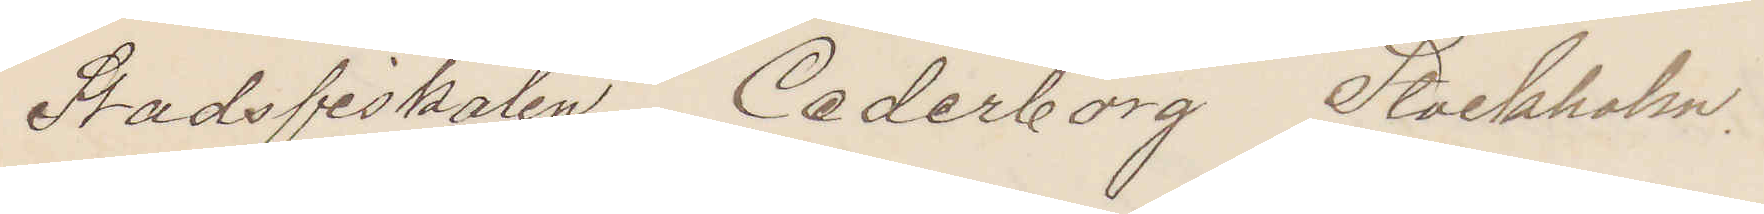Stadsfiskalen, Cederborg Stockholm.
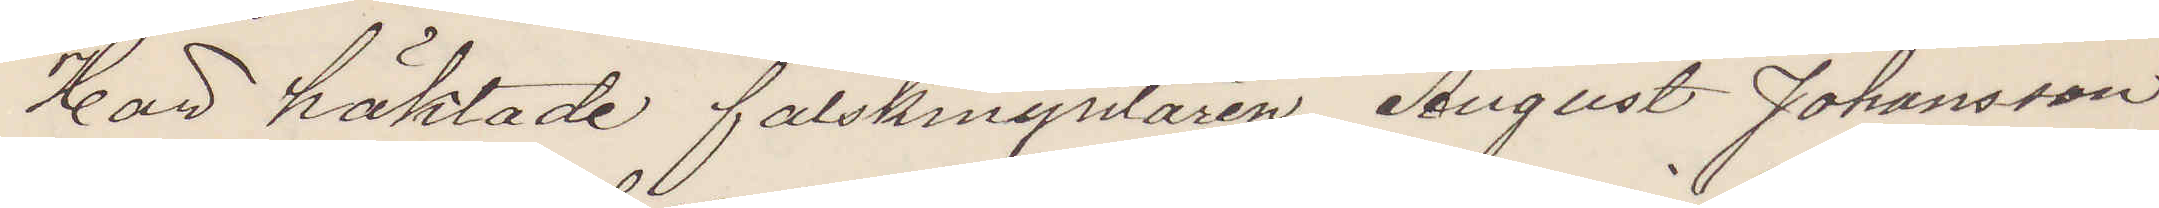Har häktade falskmyntaren August Johansson
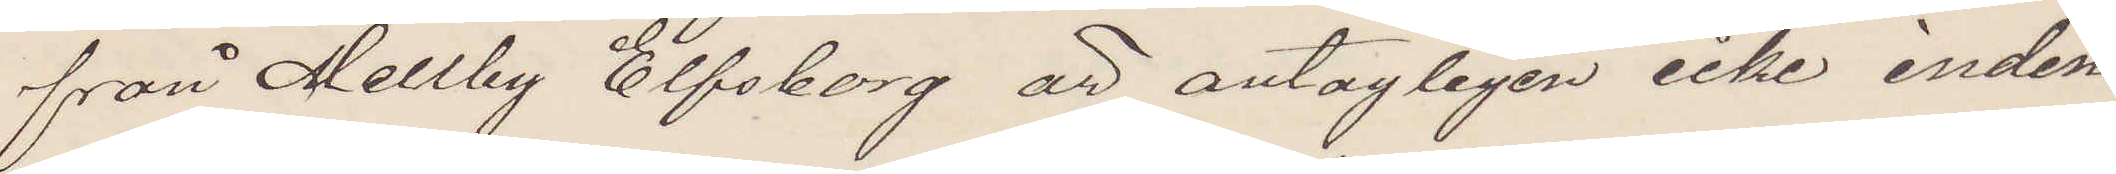från Mellby Elfsborg är antagligen icke inden¬
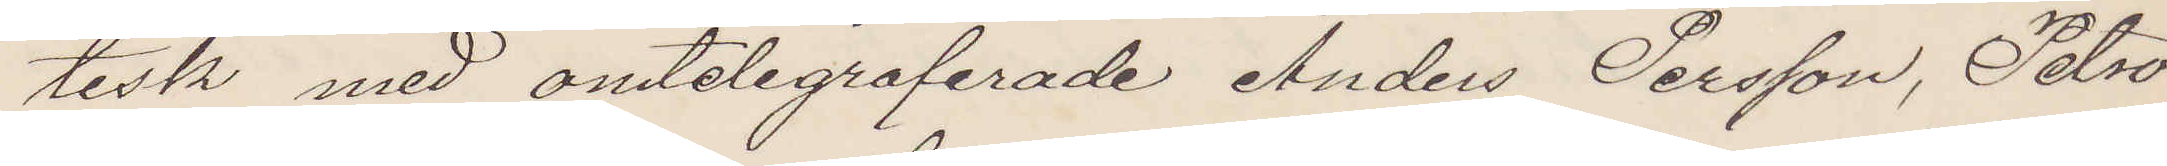tisk med omtelegraferade Anders Persson, Petro¬
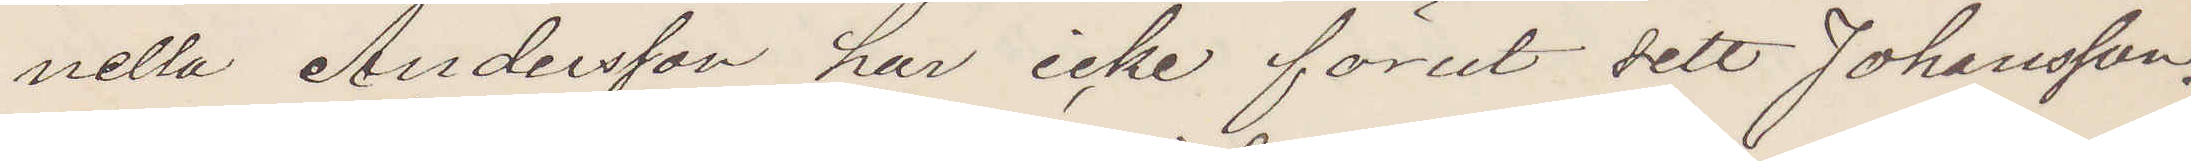nella Andersson har icke förut sett Johansson,
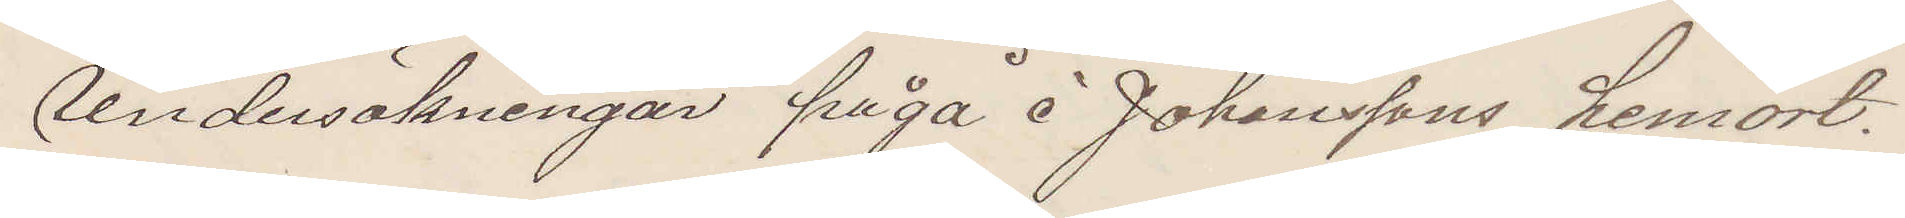undersökningar fråga å Johanssons hemort.
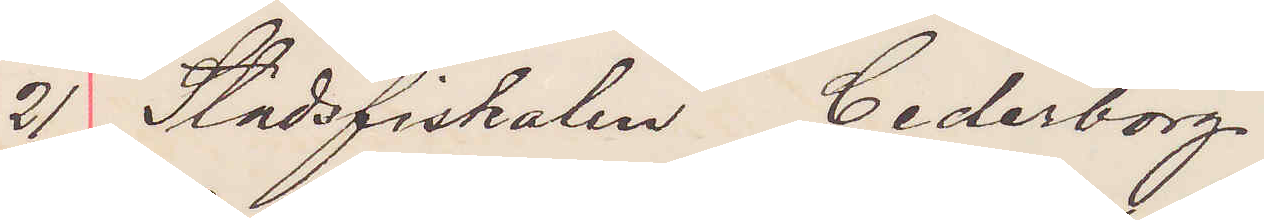21 Stadsfiskalen, Cederborg
